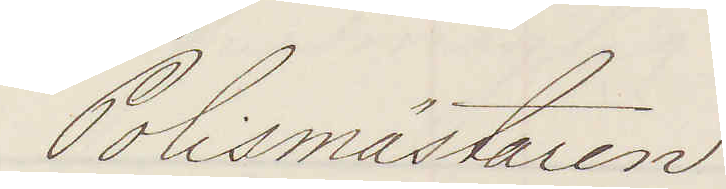Polismästaren
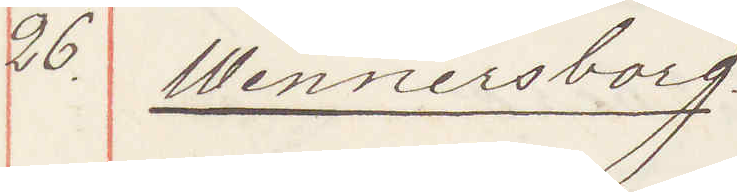26. Wennersborg
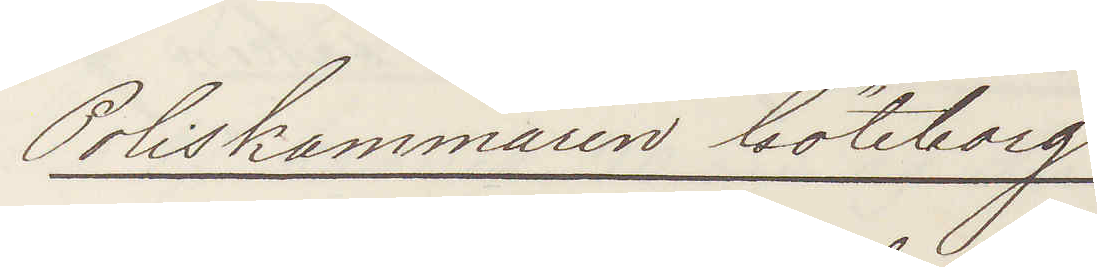Poliskammaren Göteborg
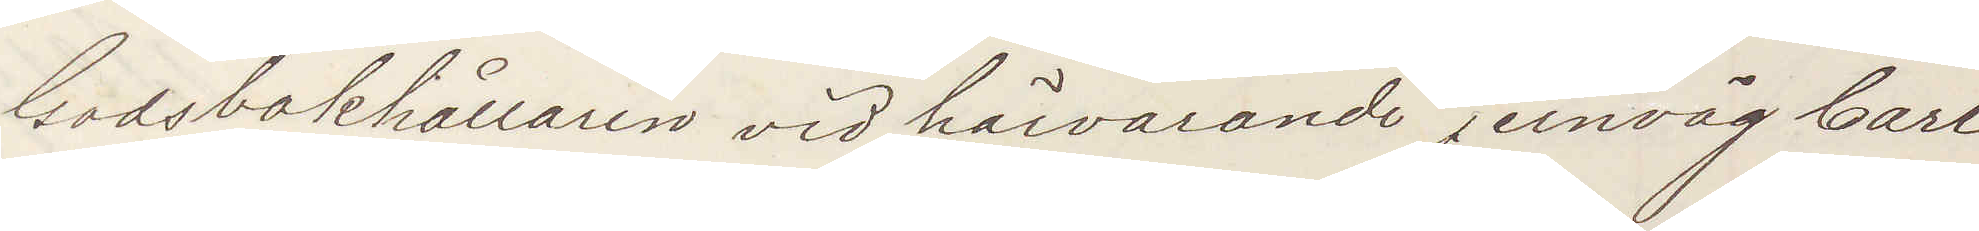Godsbokhållaren vid härvarande jernväg Carl
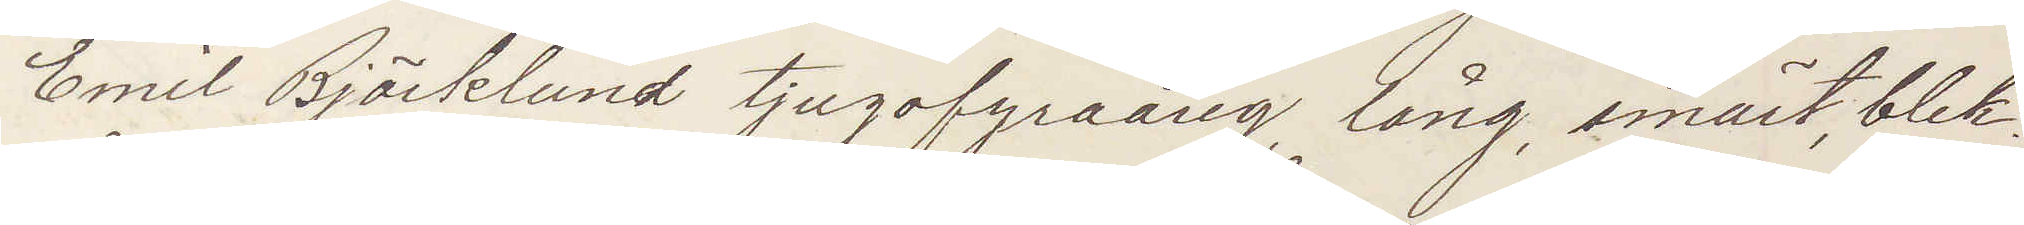Emil Björklund tjugofyraårig, lång, smärt, blek¬
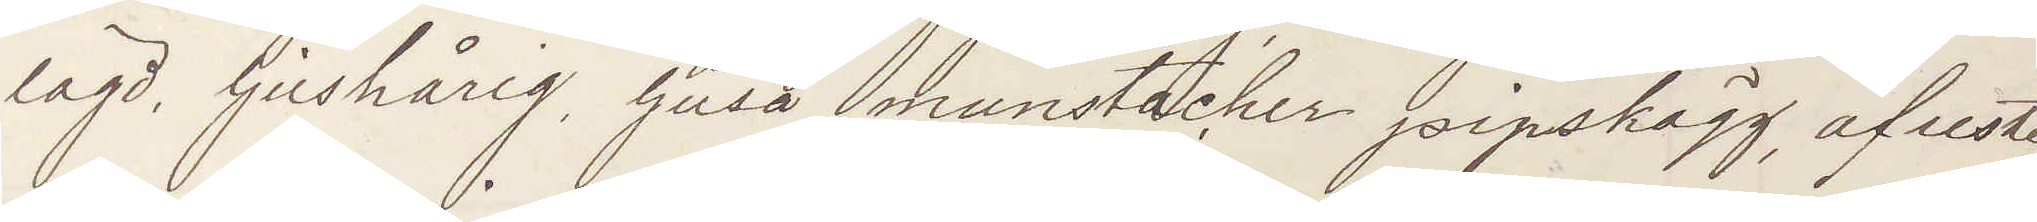lagd, ljushårig, ljusa munstacher pipskägg, afreste
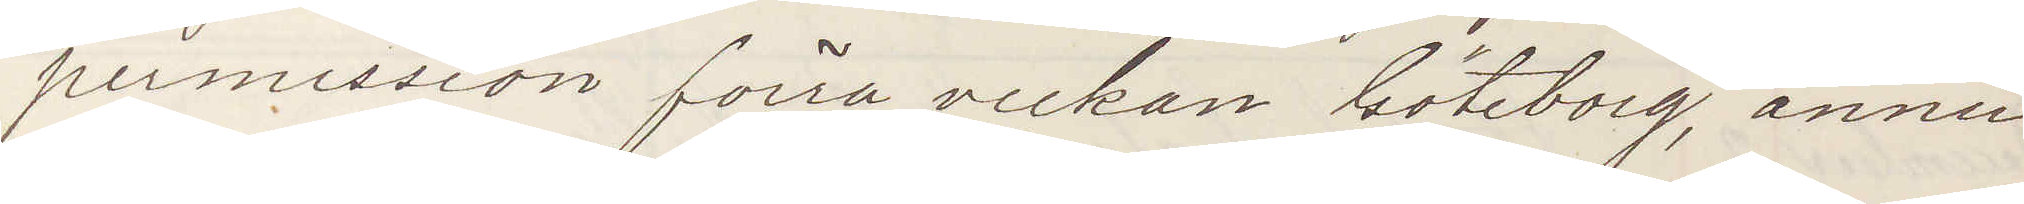permission förra veckan Göteborg, ännu
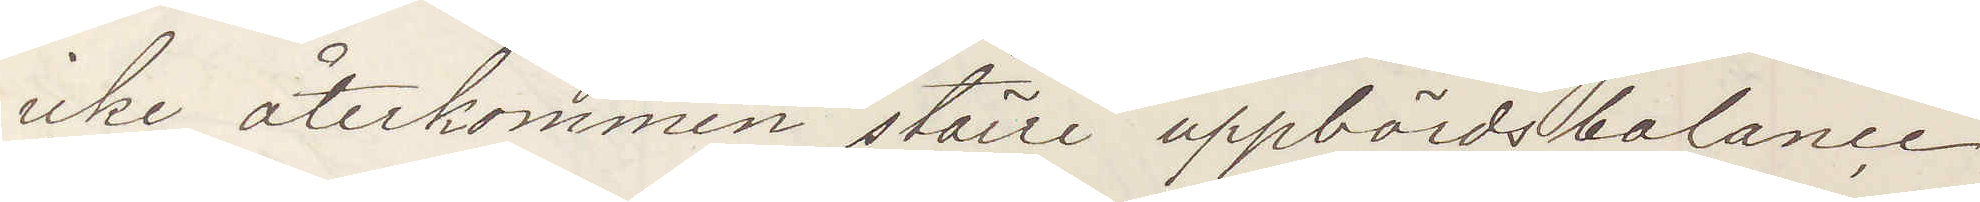icke återkommen, större uppbördsbalance
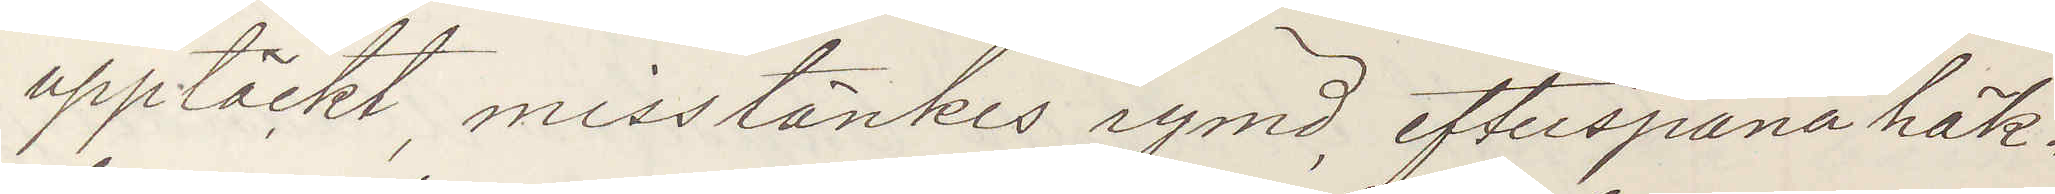upptäckt, misstänkes rymd, efterspana häk¬
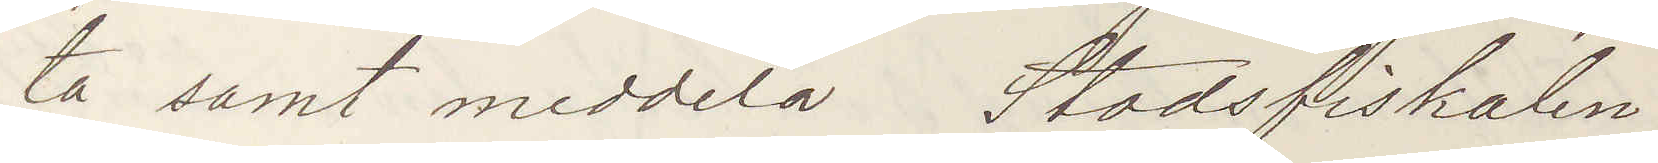ta samt meddela Stadsfiskalen.
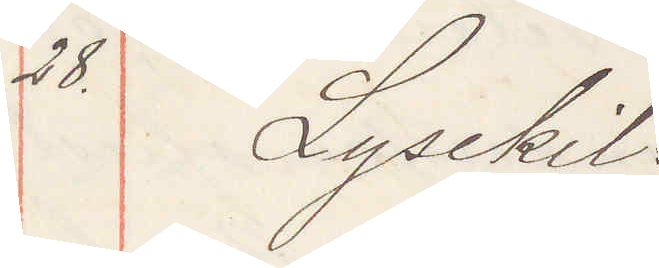28. Lysekil
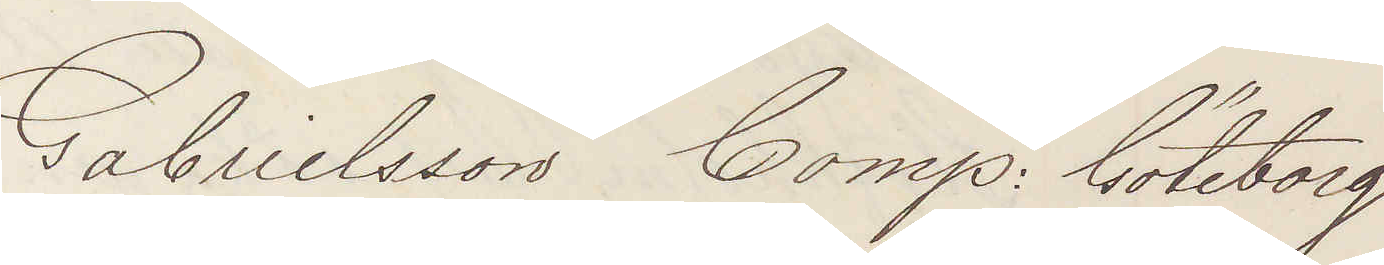Gabrielsson Comp: Göteborg
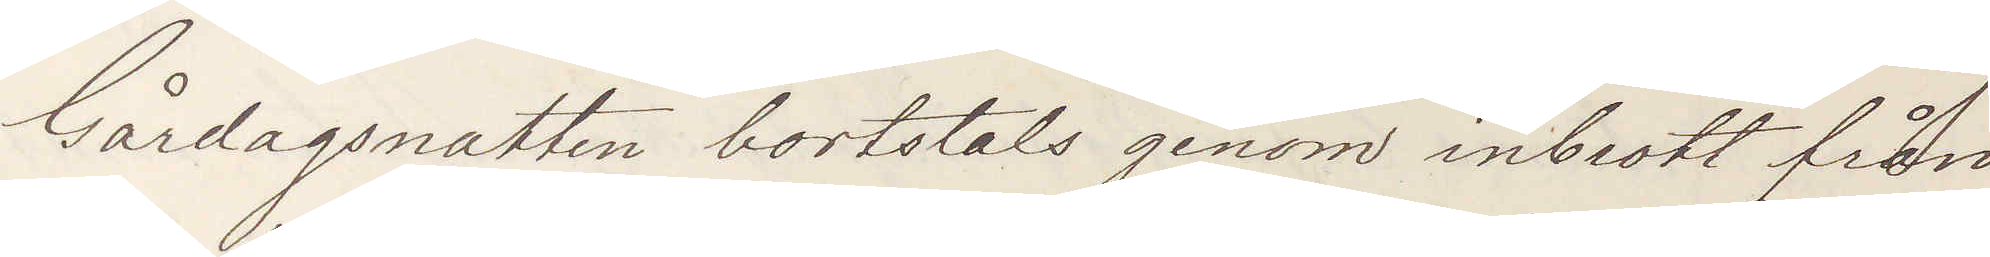Gårdagsnatten bortstals genom inbrott från
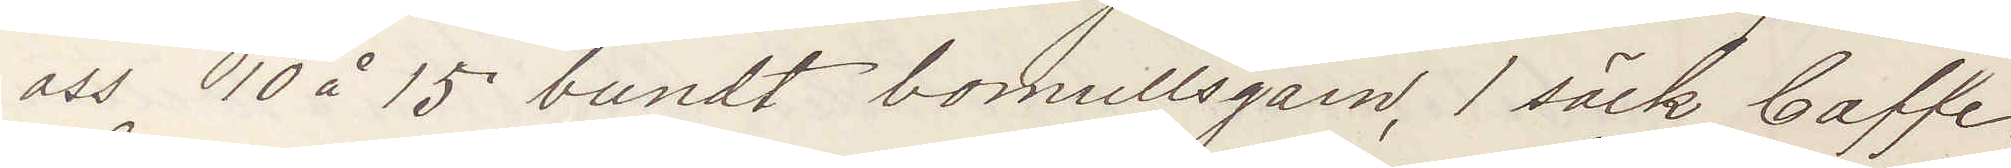oss 10 å 15 bundt bomullsgarn, 1 säck Caffe.
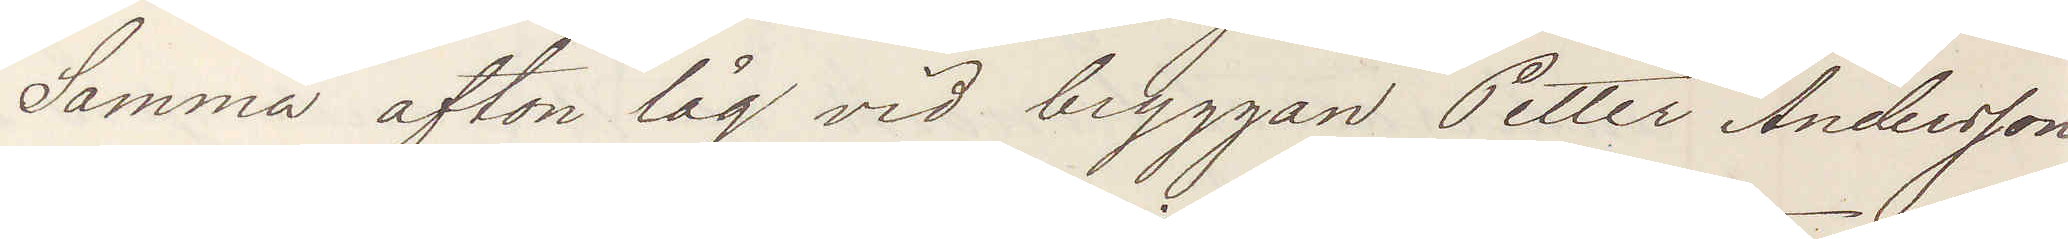Samma afton låg vid bryggan Petter Andersson
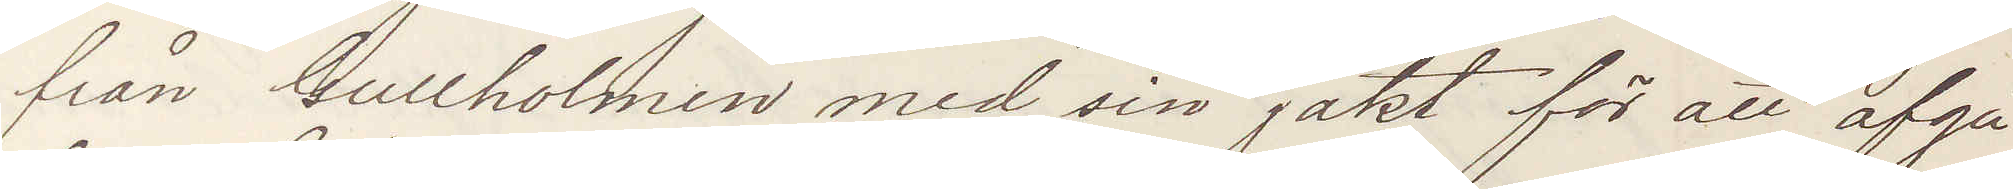från Gullholmen med sin jakt för att afgå
